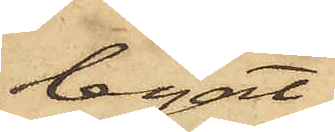legat
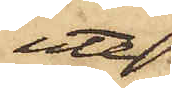ute
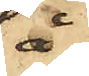å
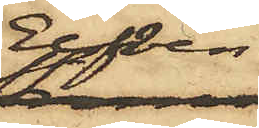Elfven
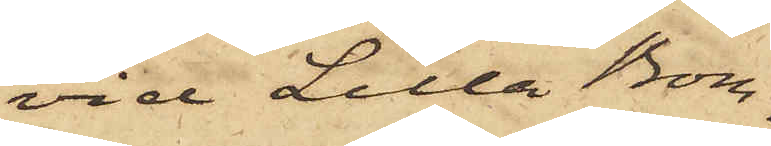vid Lilla Bom¬
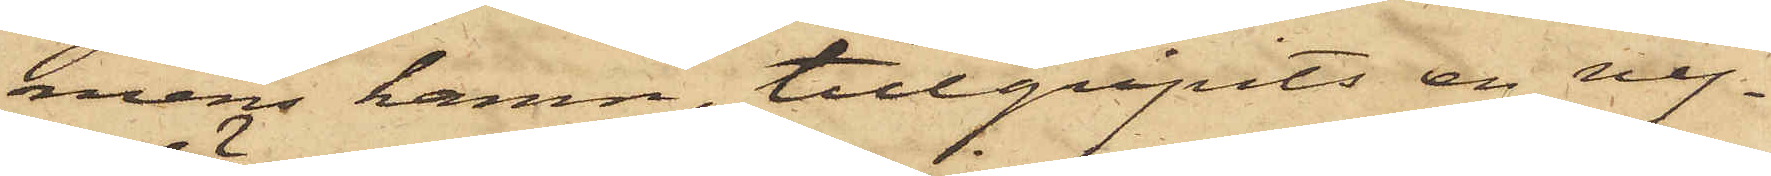mens hamn, tillgripits en ny¬
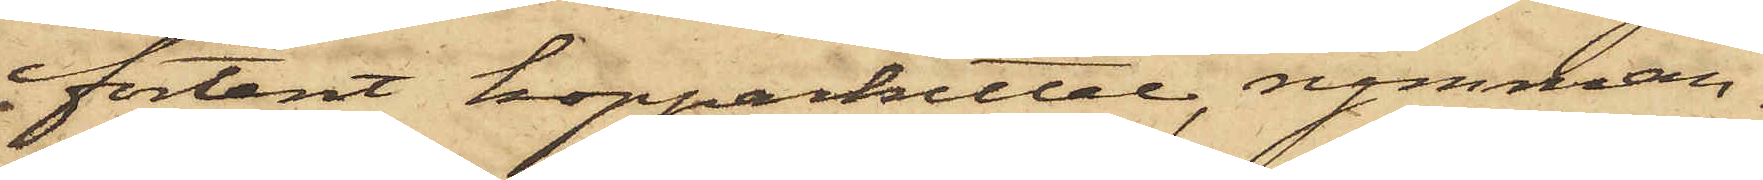förtent kopparkittel, rymman¬
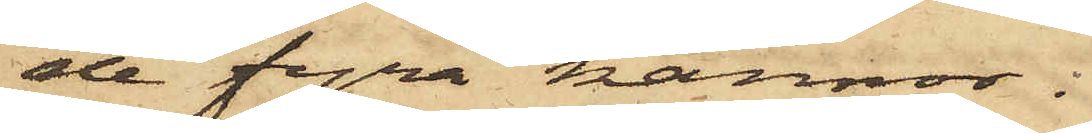de fyra kannor.
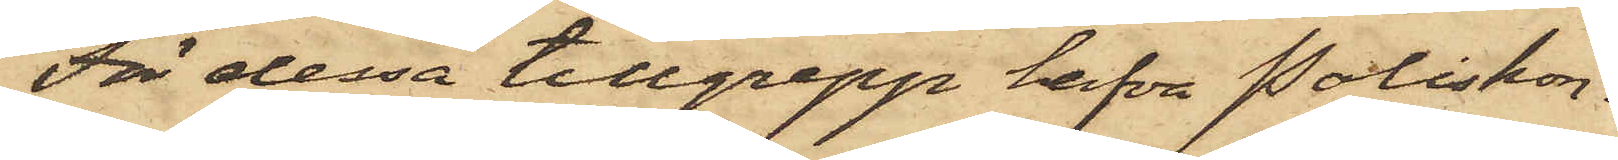För dessa tillgrepp hafva Poliskon¬
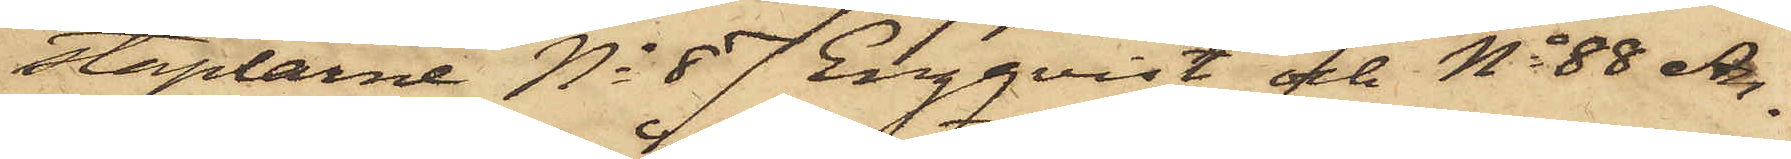staplarne No 87 Engqvist och No 88 An¬
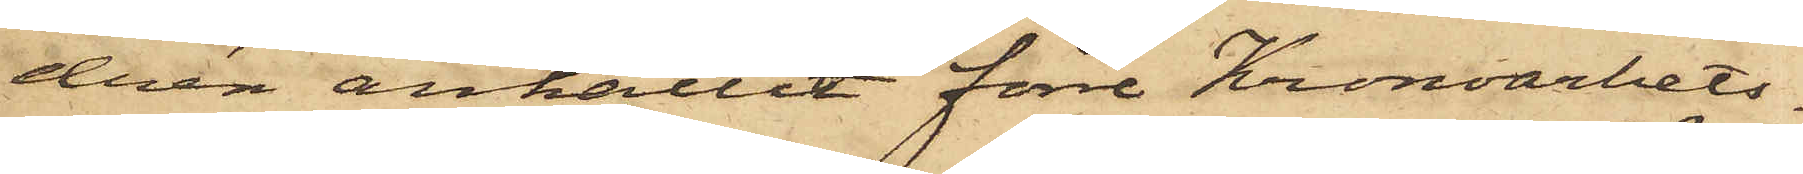drén anhållit förre Kronoarbets¬
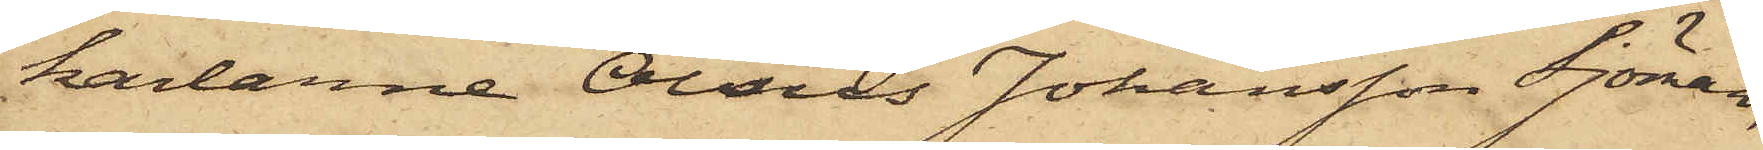karlarne Olaus Johansson Sjöman,
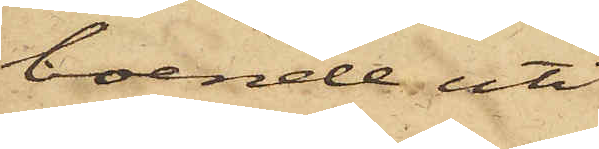boende uti
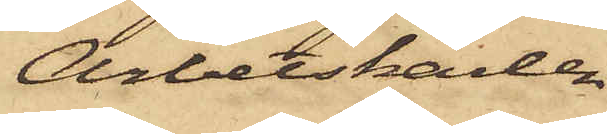Arbetskarlen
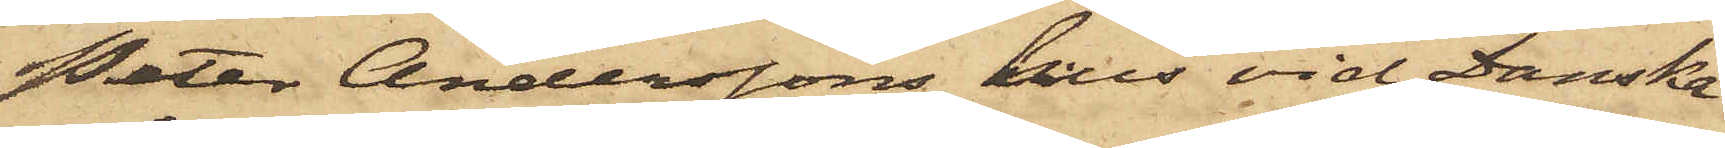Peter Anderssons hus vid Danska
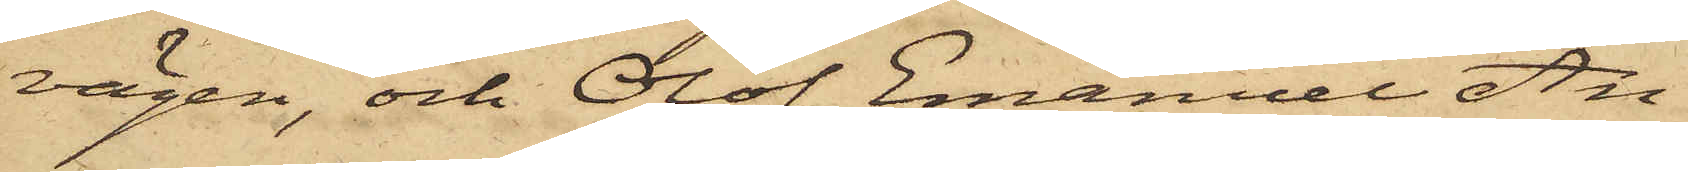vägen, och Olof Emanuel An¬
